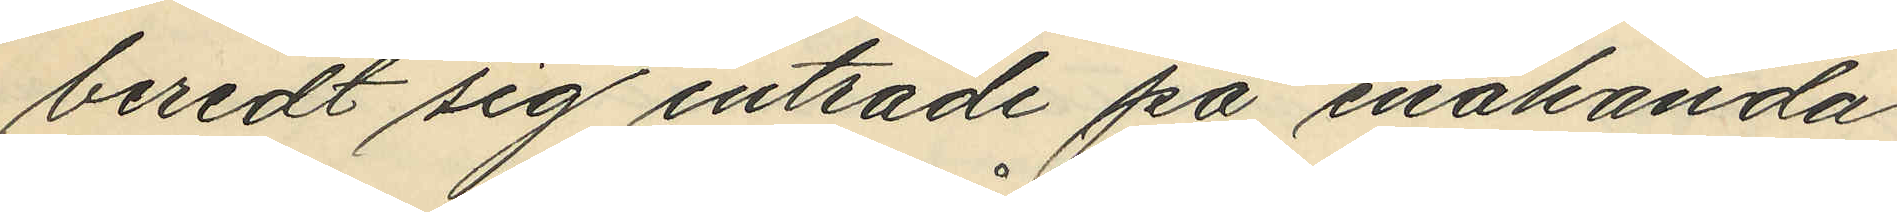beredt sig inträde på enahanda
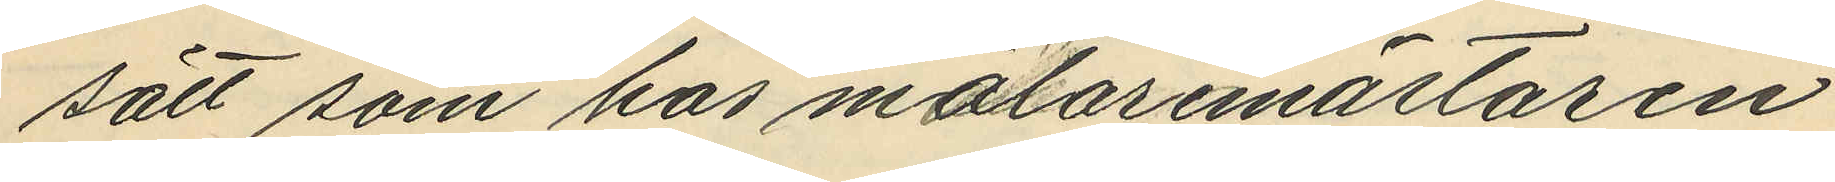sätt som hos målaremästaren
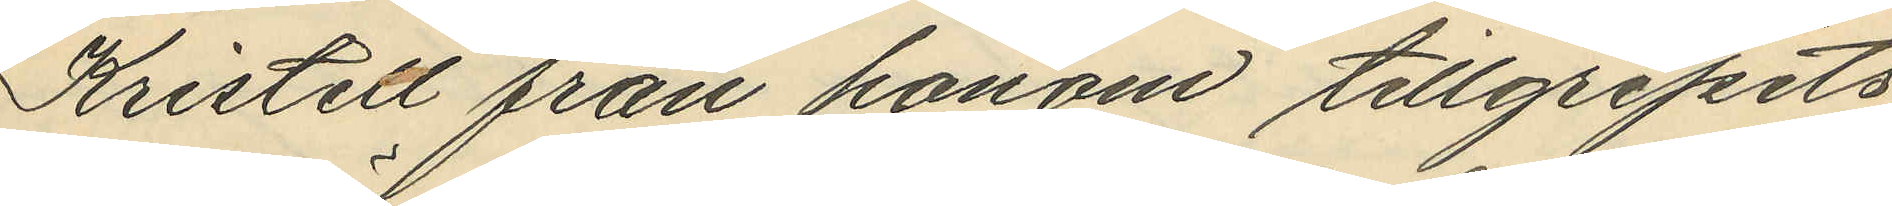Kristell från honom tillgripits
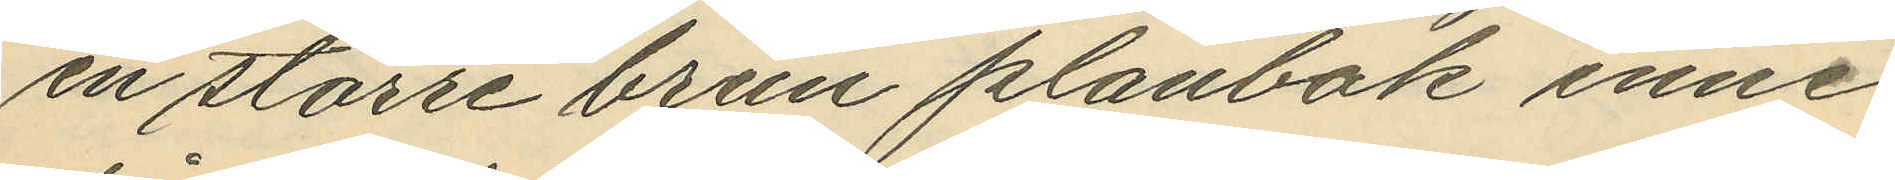en större brun plånbok inne¬
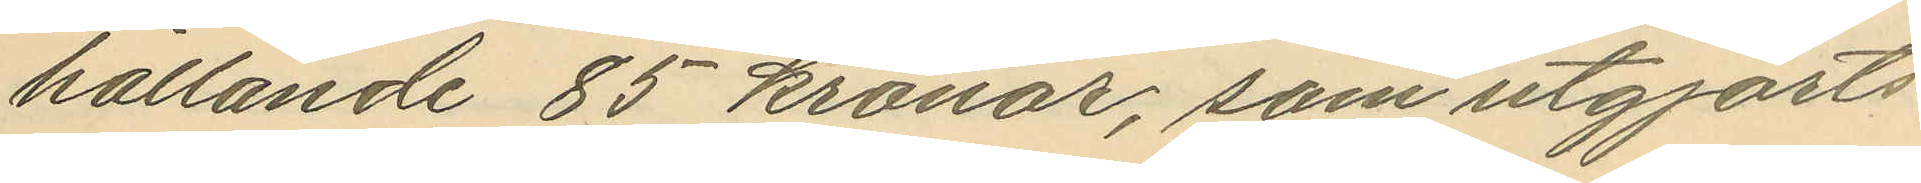hållande 85 kronor, som utgjorts
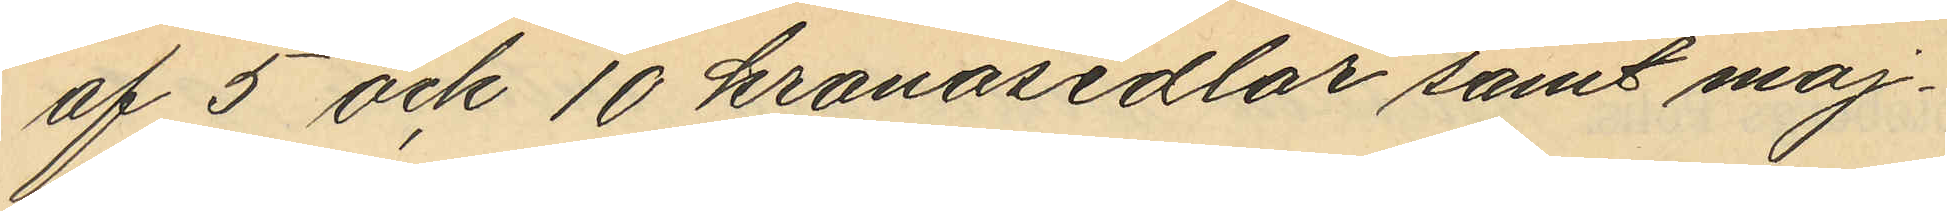af 5 och 10 kronosedlar samt moj¬
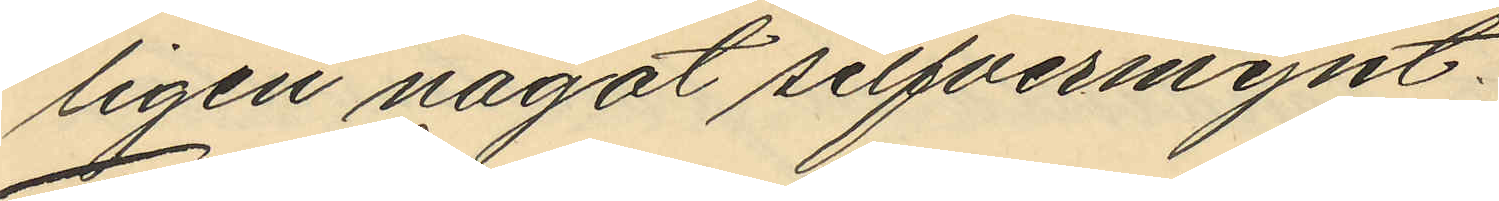ligen något silfvermynt.
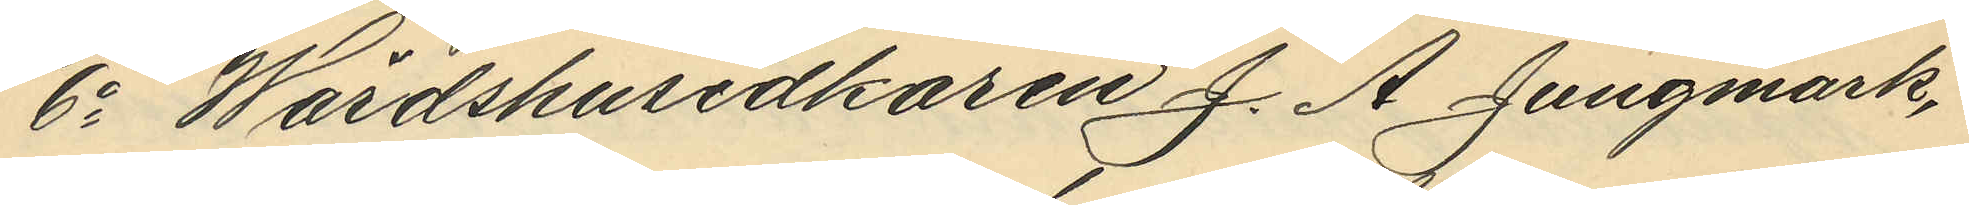6o Wärdshusidkaren J. A. Jungmark,
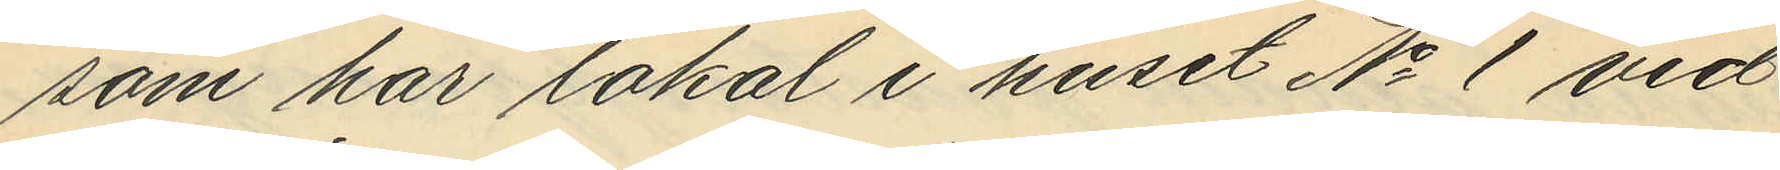som har lokal i huset No 1 vid
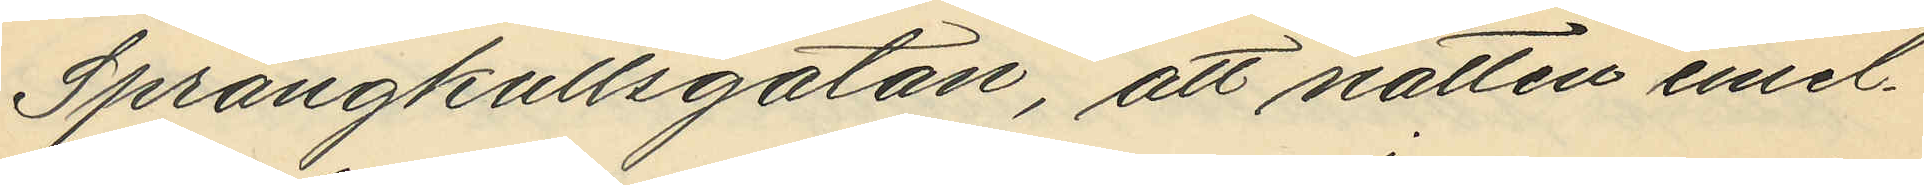Sprängkullsgatan, att natten emel¬
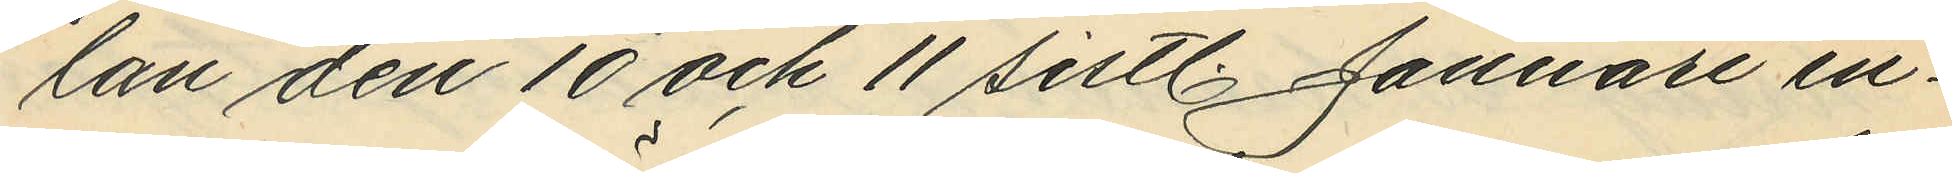lan den 10 och 11 sistl. Januari in¬
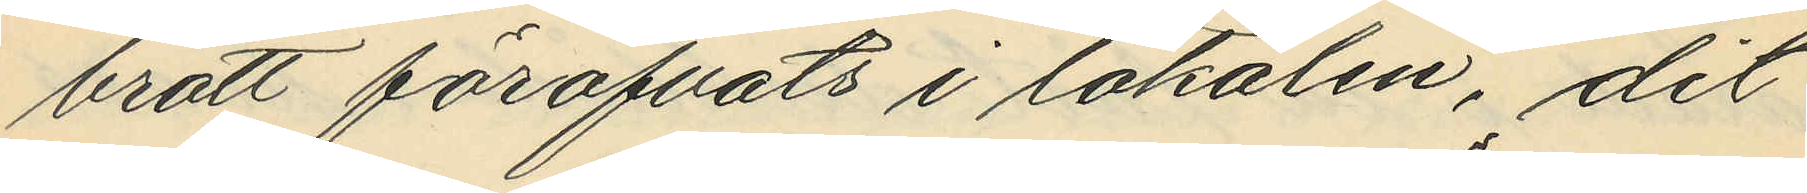brott föröfvats i lokalen, dit
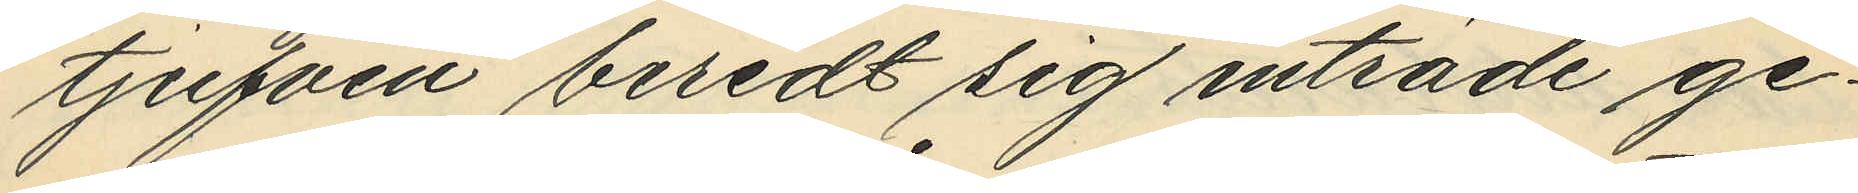tjufven beredt sig inträde ge¬
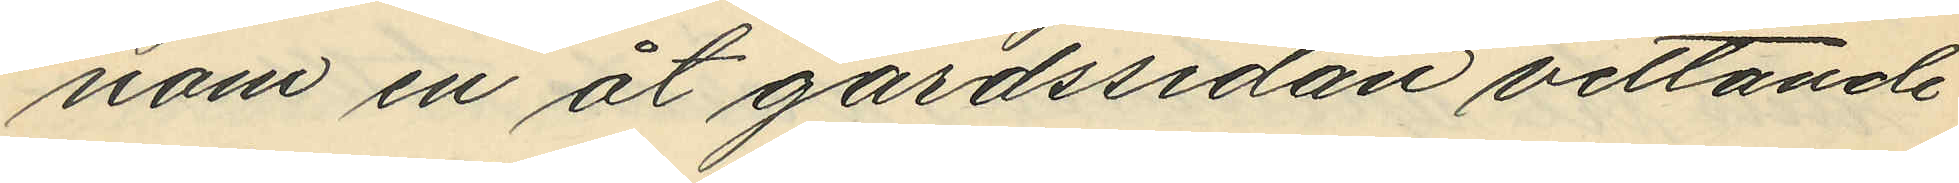nom en åt gårdssidan vettande
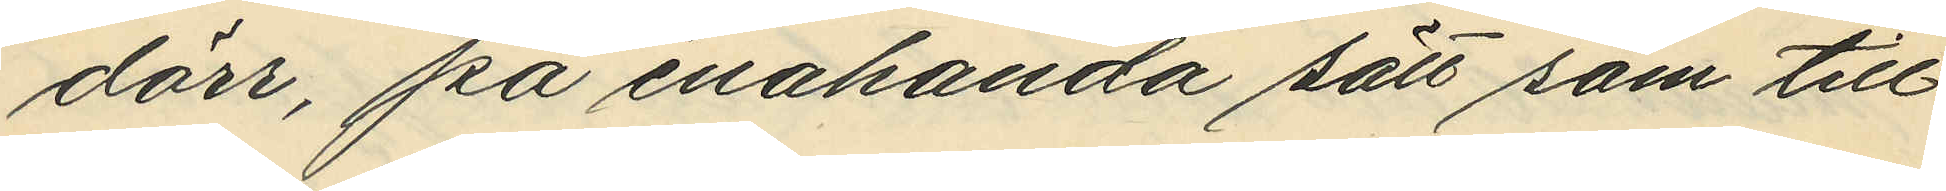dörr, på enahanda sätt som till
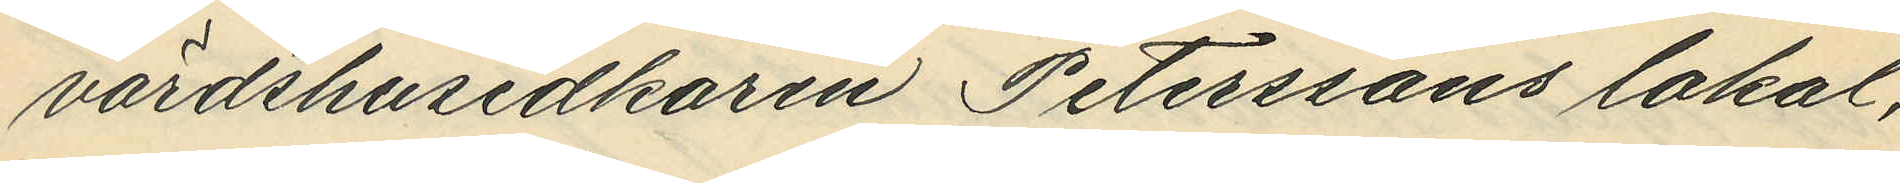värdshusidkaren Petterssons lokal,
